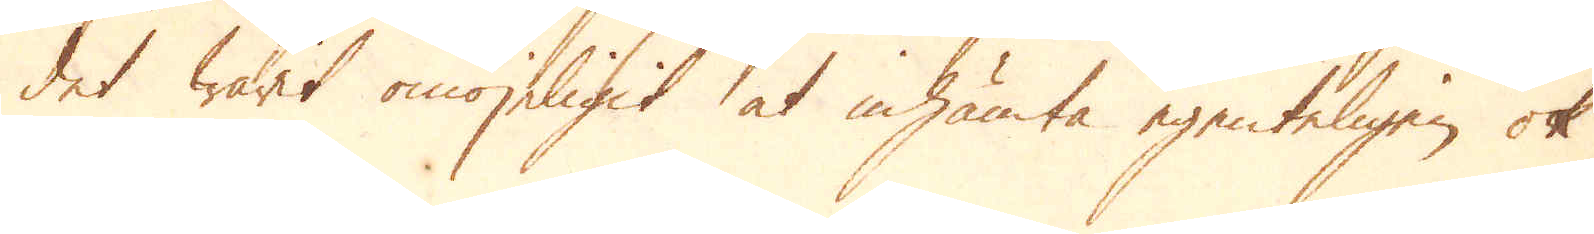det warit omöjeligit at inhämta egenteligen ok
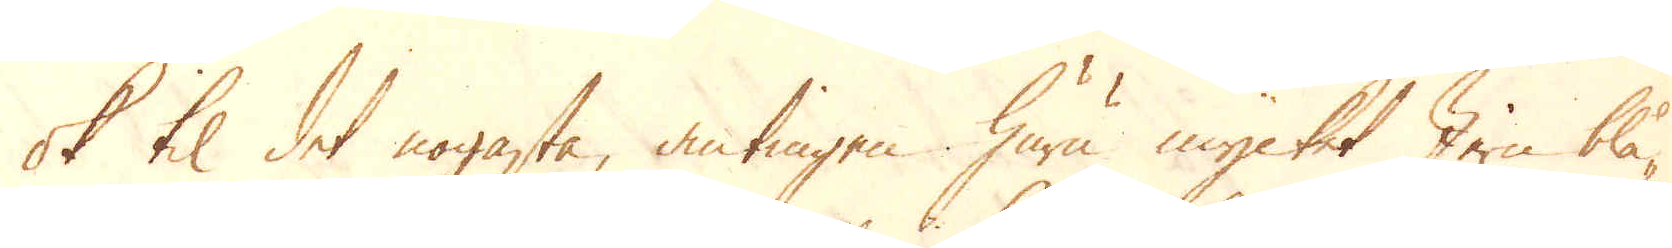ok til det nogasta, antingen huru mycket Jern blå-
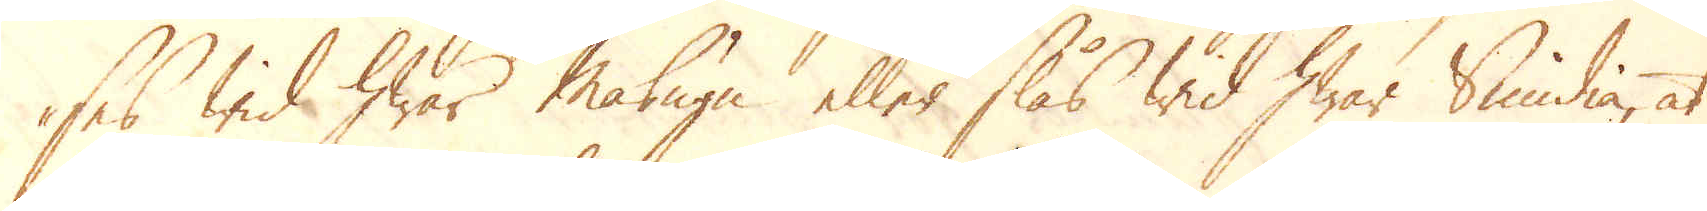ses wid hwar Masugn eller slås wid hwar Smidia, at
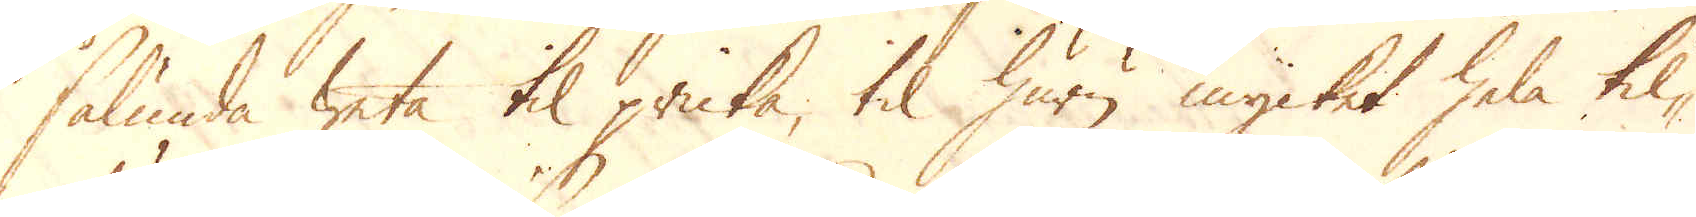sålunda weta til pricka, til huru mycket hela til-
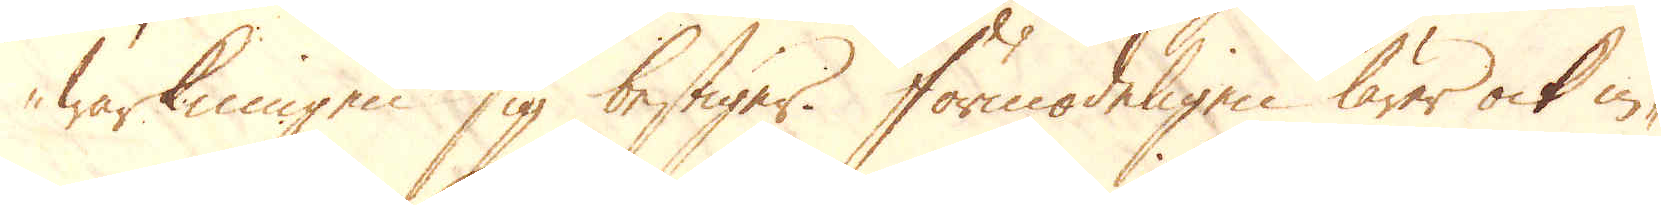wärkningen sig bestiger. Förmodeligen lärer ock in-
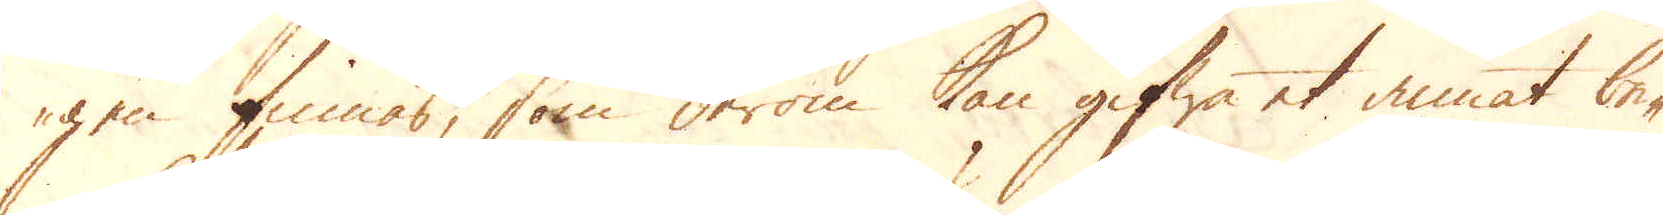gen finnas, som derom kan gifwa et annat be-
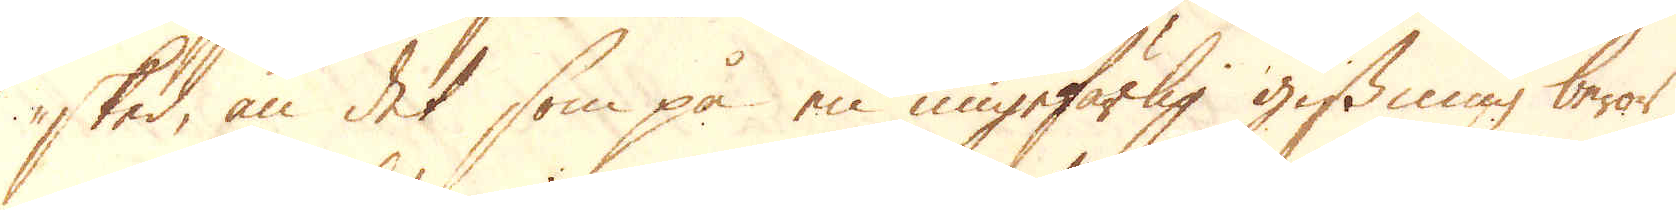sked, än det som på en ungefärlig gissning beror,
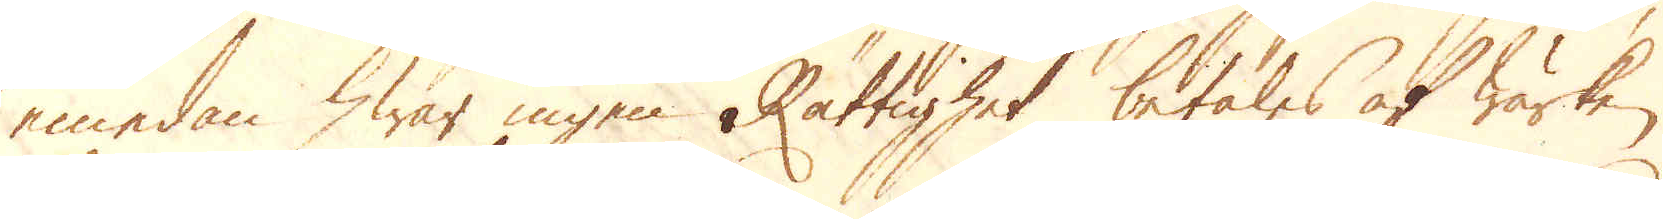emedan hwar ingen Rättighet betales af wärken
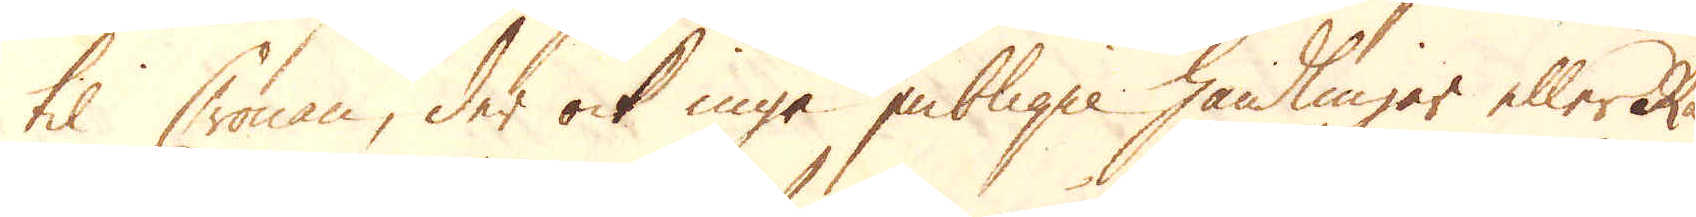til Cronan, der ock inga publiqwe handlingar eller Rä-
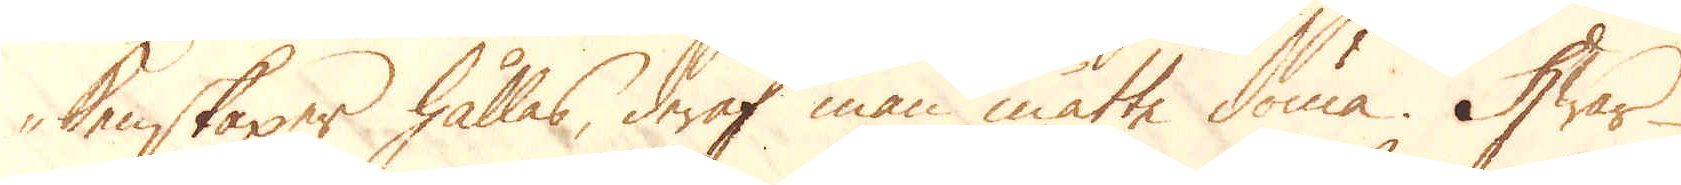kenskaper hållas, deraf man måtte döma. Hwar-
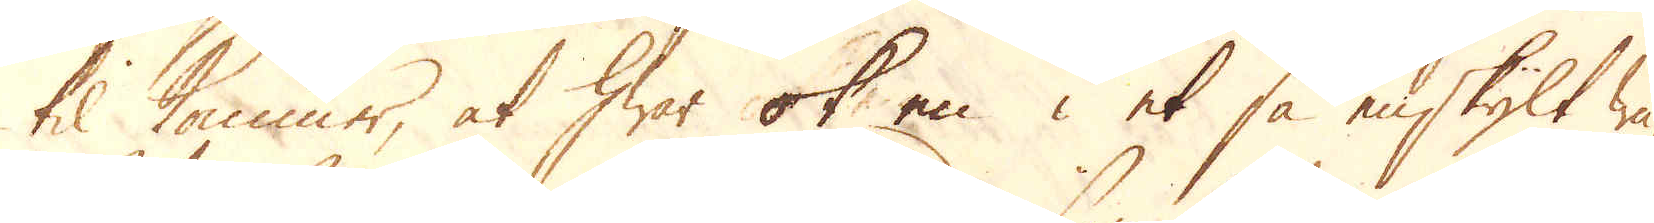til kommer, at hwar ok en i et så elskylt wä-
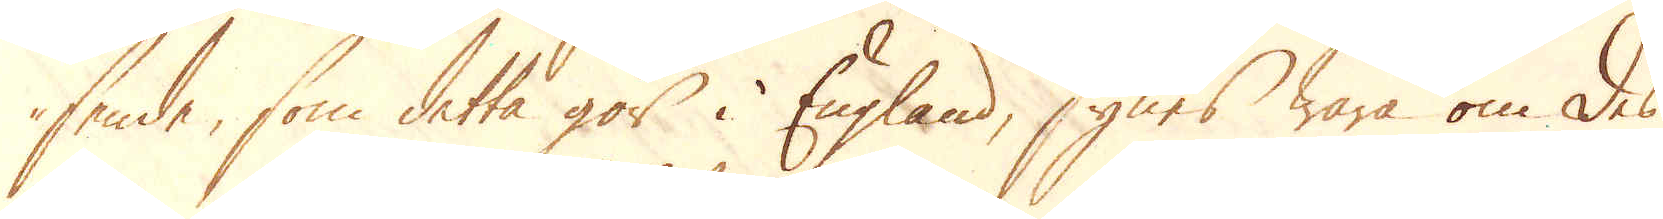sende, som detta gör i England, synes wara om des
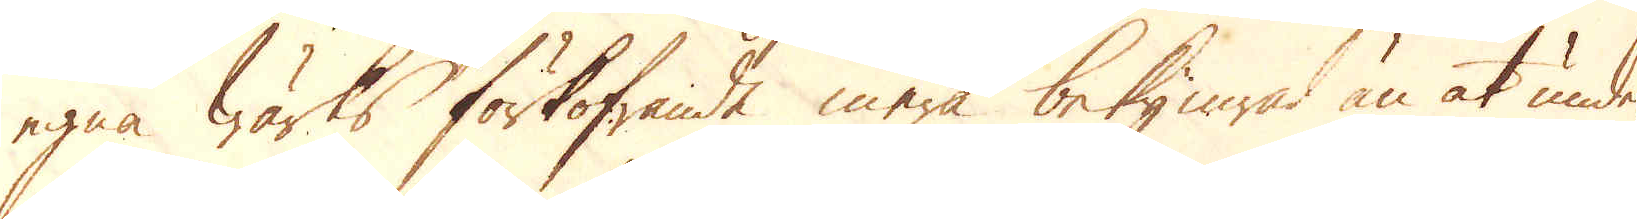egna Wärks förkofrande mera bekymrad än at under-
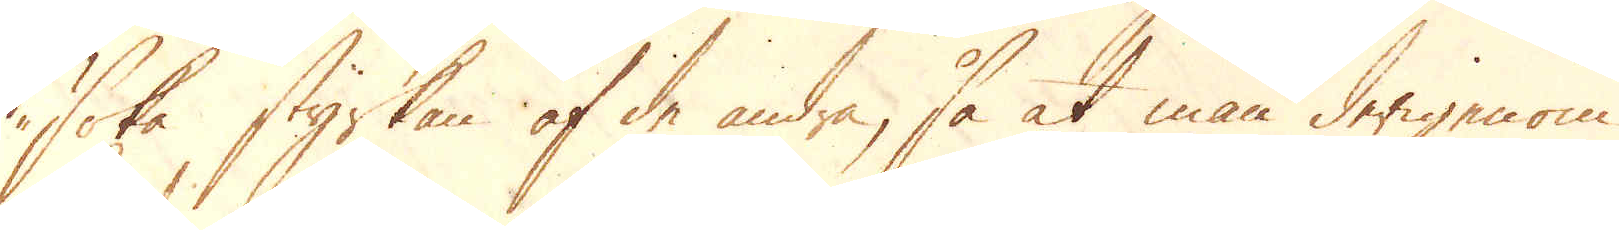söka styrkan af de andra, så at man derigenom
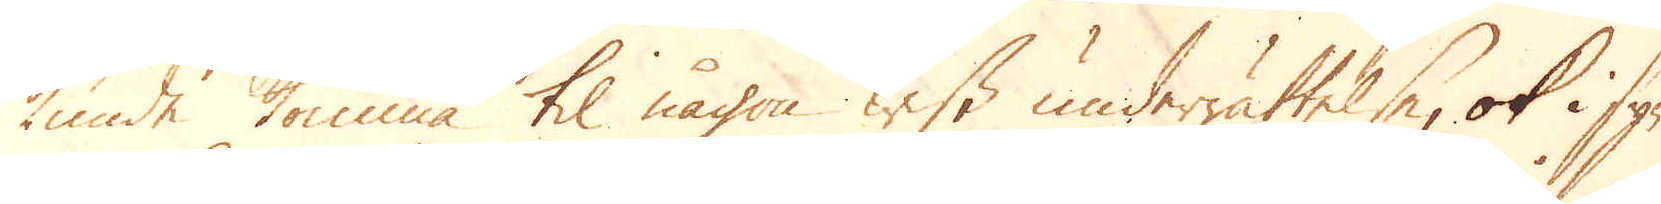kunde komma til någon wiss underrättelse, ok i syn-
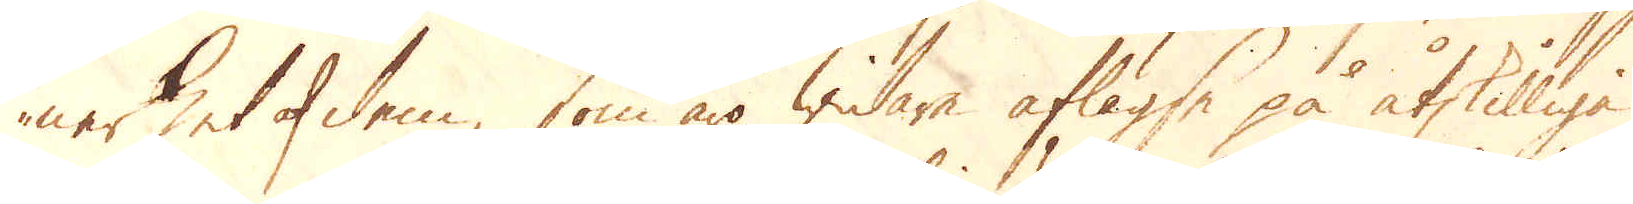nerhet af dem, som äro widare aflägse på åtskilliga
